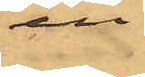en
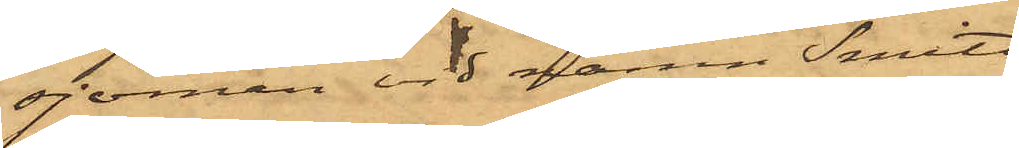sjöman vid namn Smith,
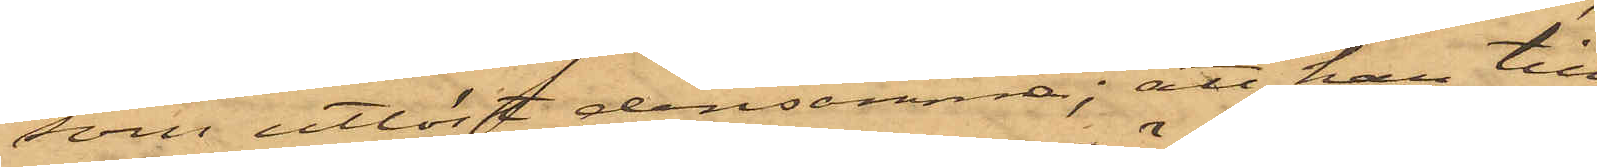som utlöst densamma; att han till
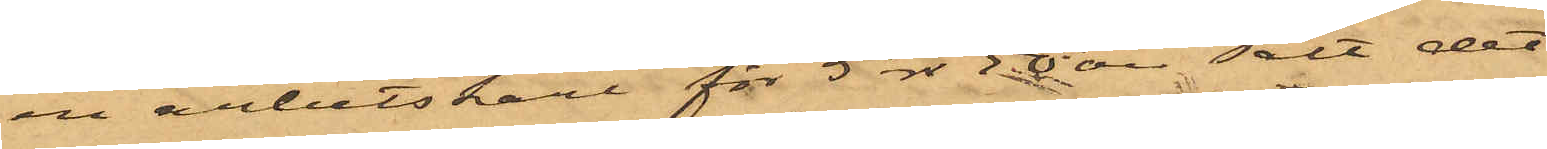en arbetskarl för 5 rdr 50 öre sålt det
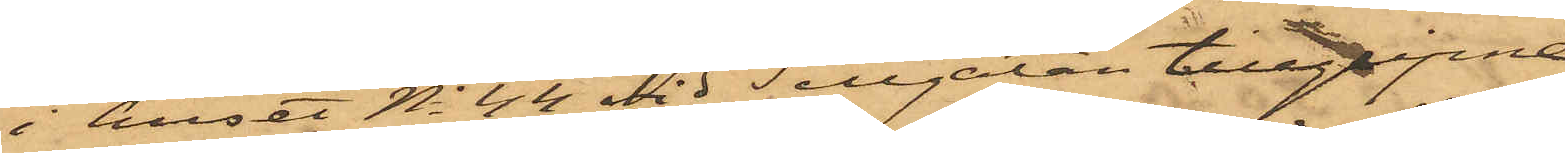i huset No 44 vid Sillgatan tillgripne
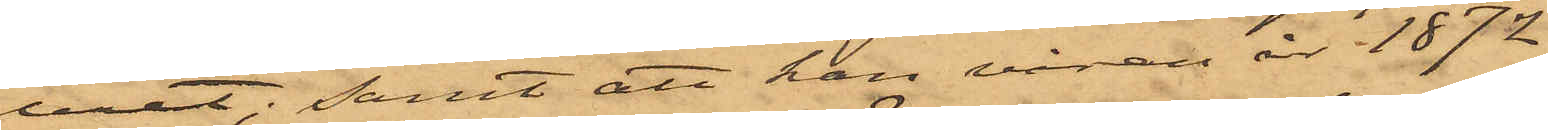uret; samt att han vidare år 1872,
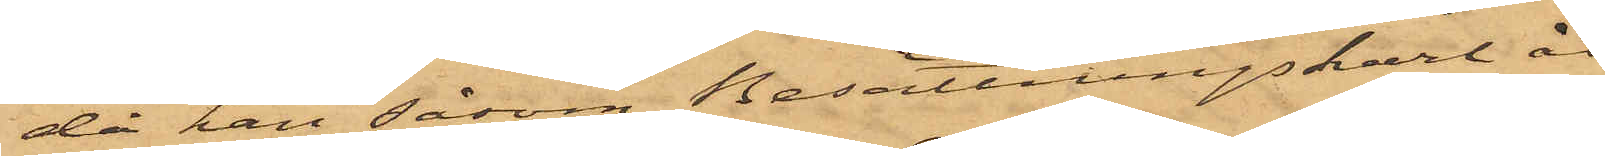då han såsom Besättningskarl åt¬
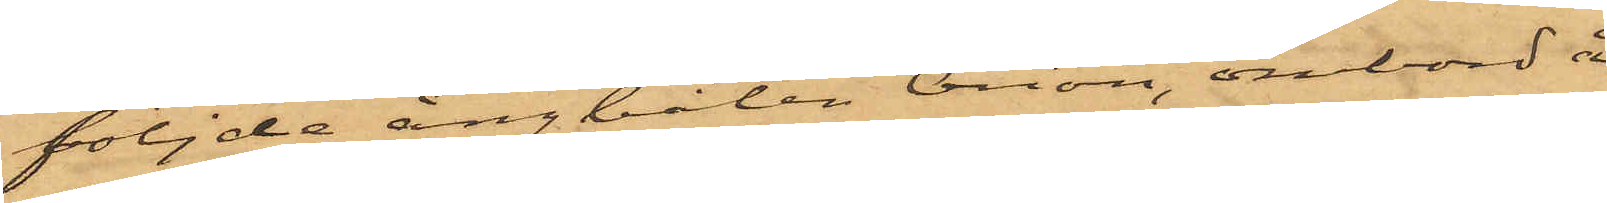följde ångbåten Orion, ombord å
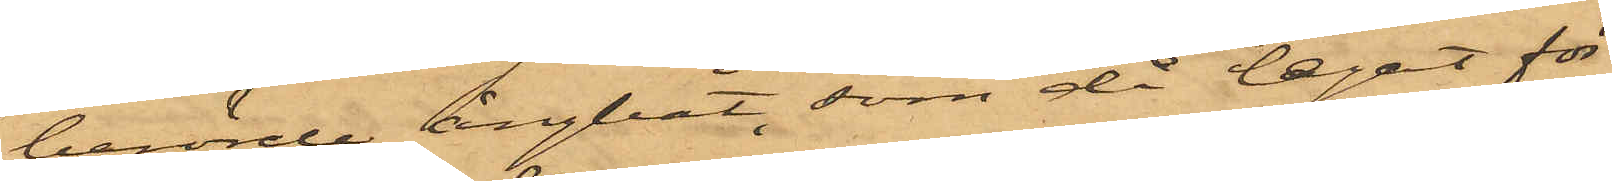berörde ångbåt, som då legat för¬
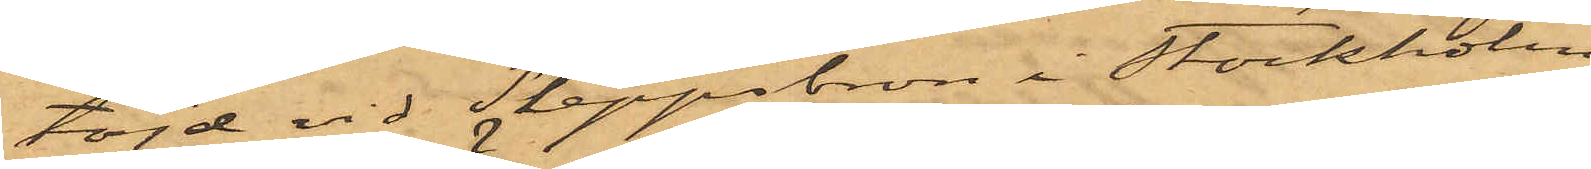töjd vid Skeppsbron i Stockholm,
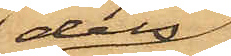dels
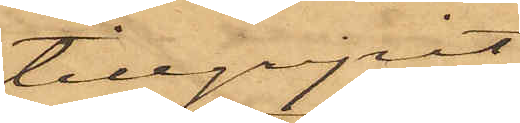tillgripit
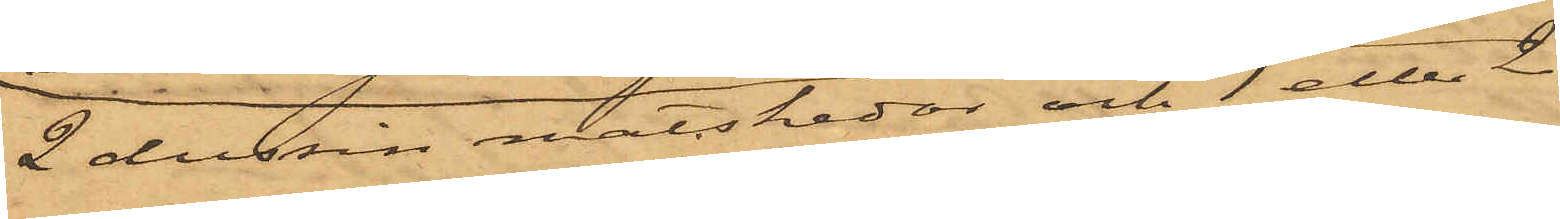2  dussin matskedar och 1 eller 2 
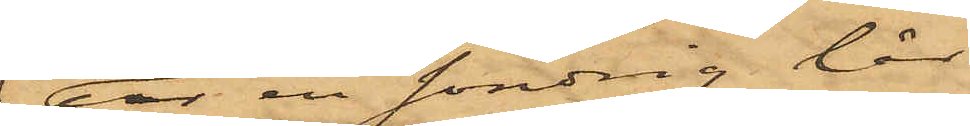dussin theskedar af nysilfver,
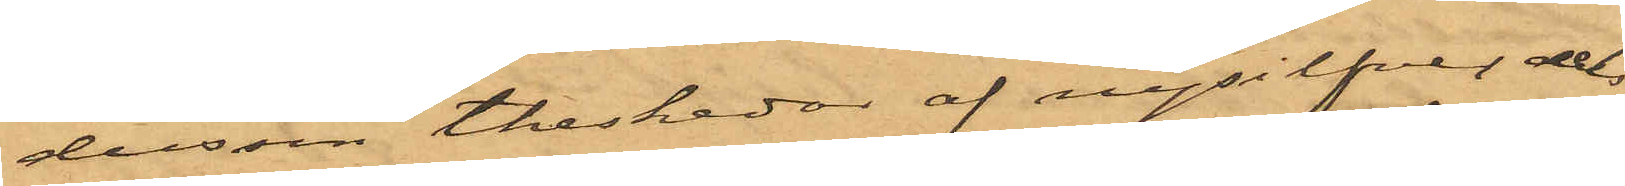 dels
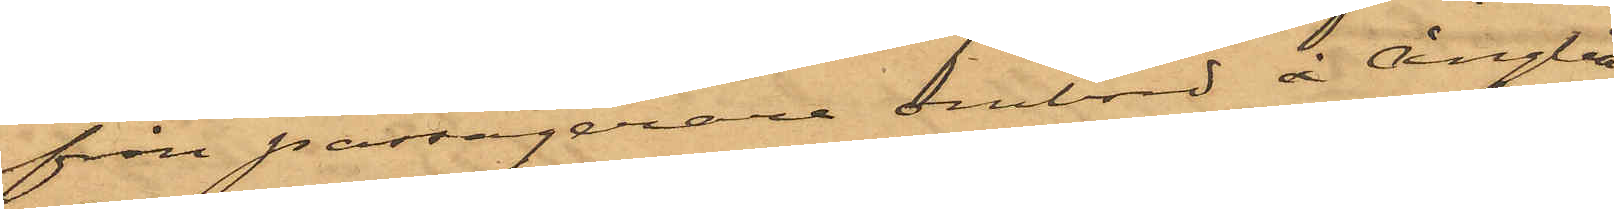från passagerare ombord å Ångbå¬
